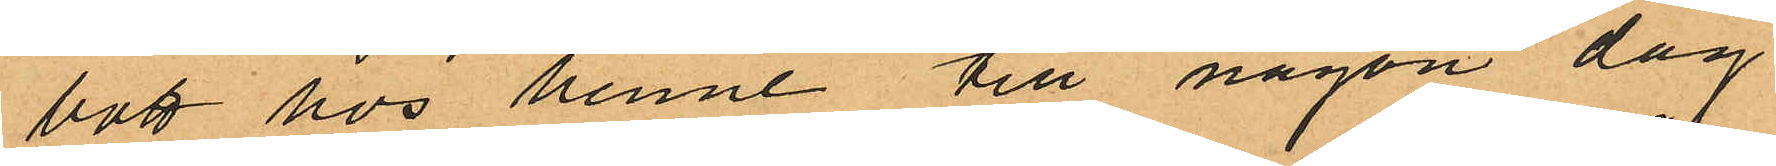bott hos henne till någon dag
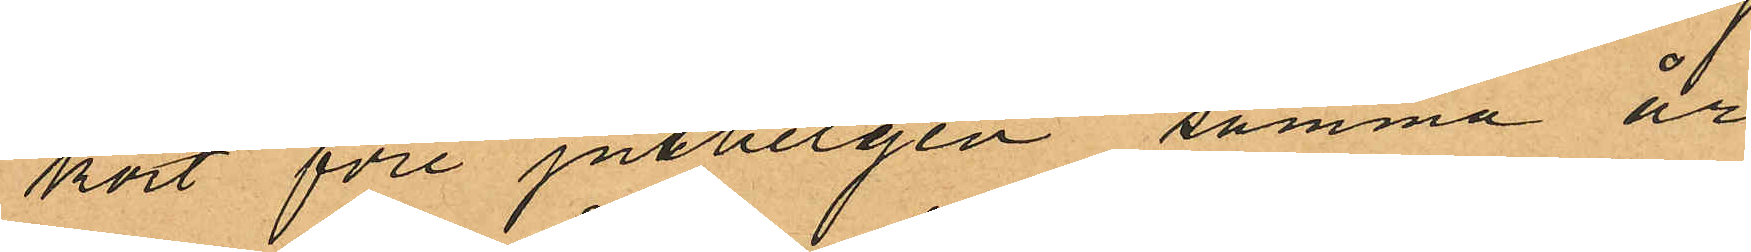kort före julhelgen samma år,
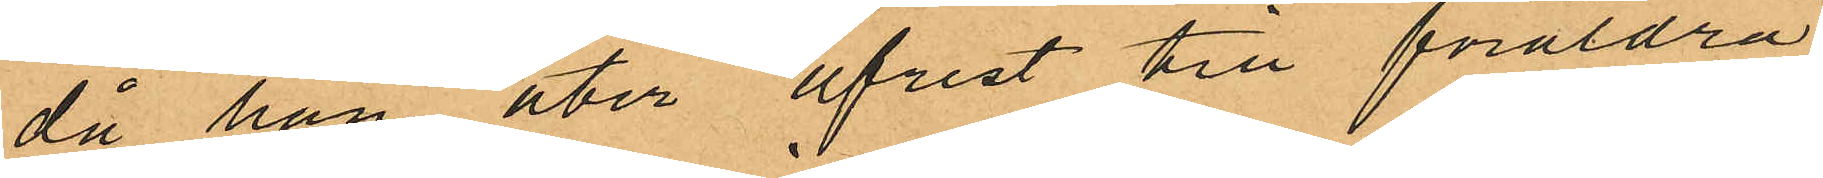då han åter afrest till föräldra¬
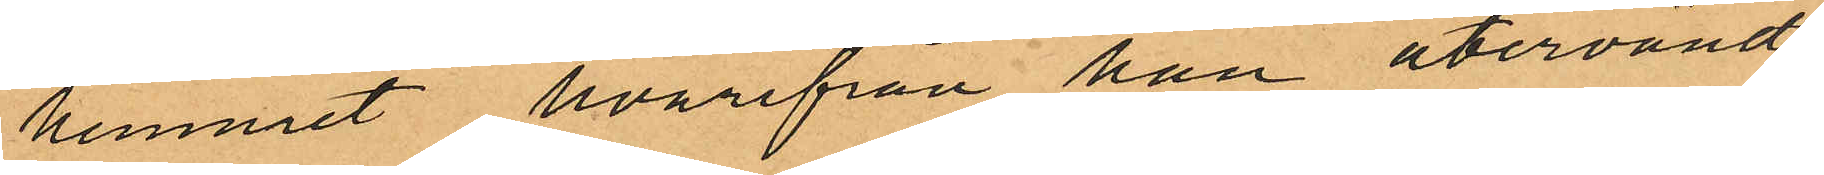hemmet hvarifrån han återvändt
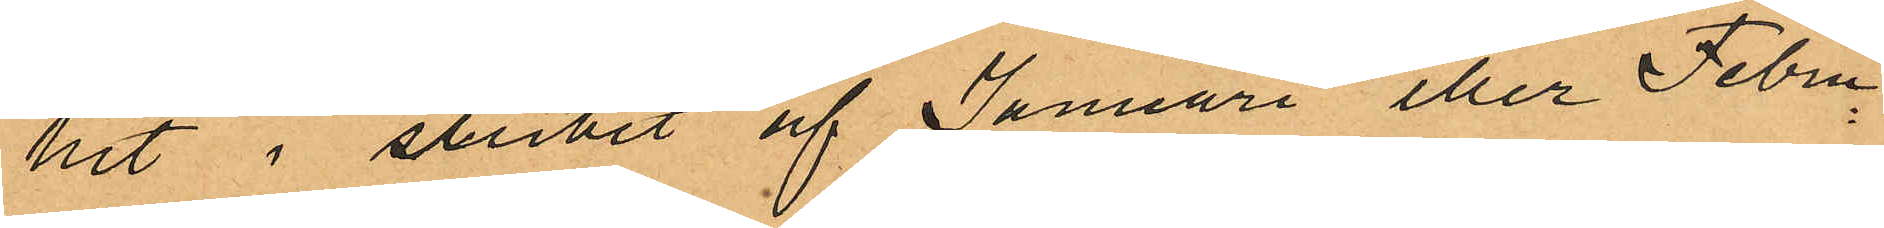hit i slutet af Januari eller Febru¬
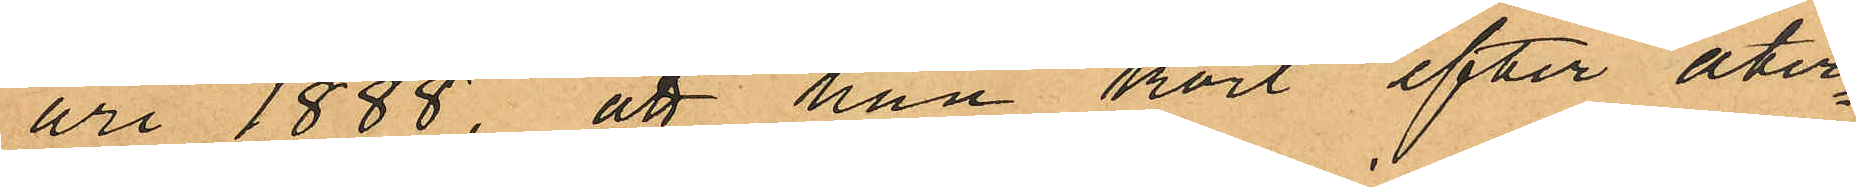ari 1888, att han kort efter åter¬
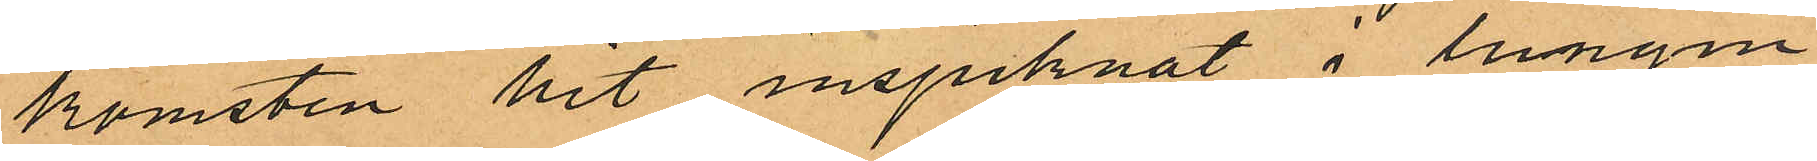komsten hit insjuknat i lungin¬
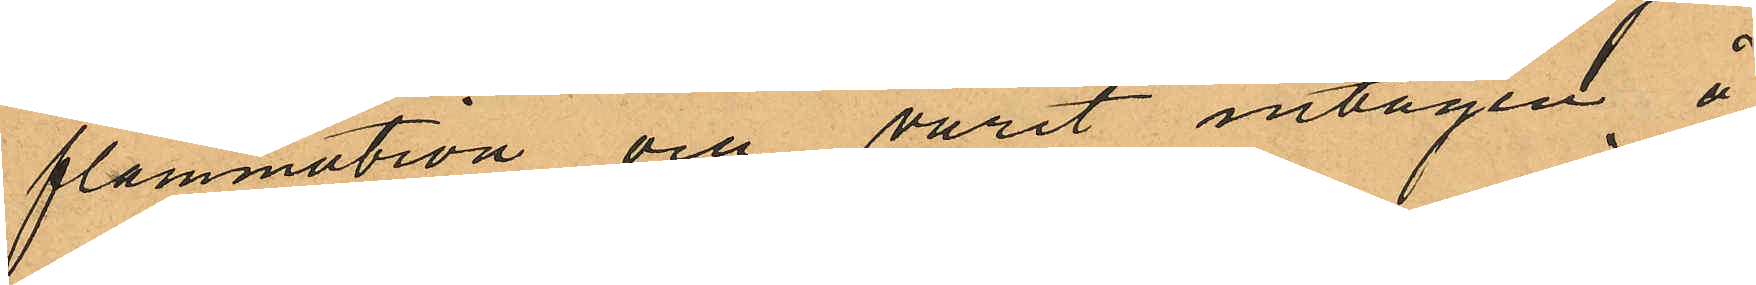flammation och varit intagen å
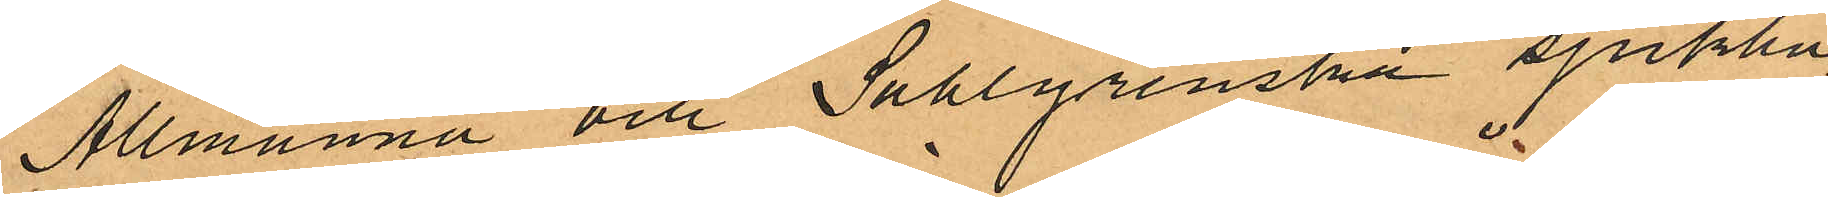Allmänna och Sahlgrenska sjukhu¬
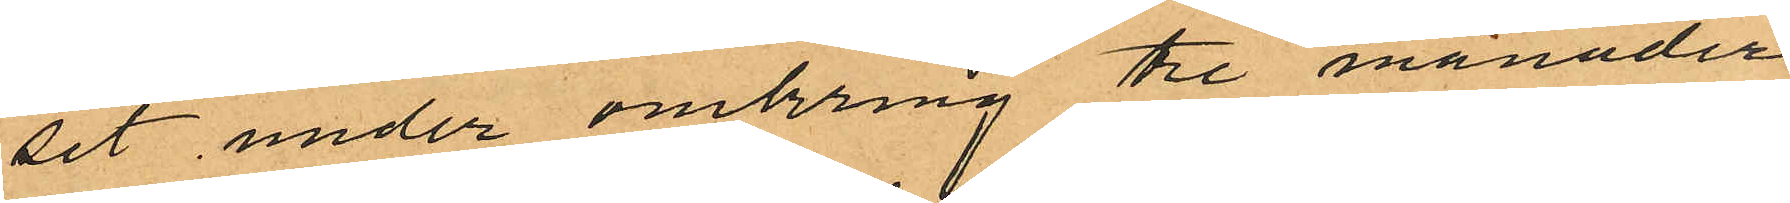set under omkring tre månader
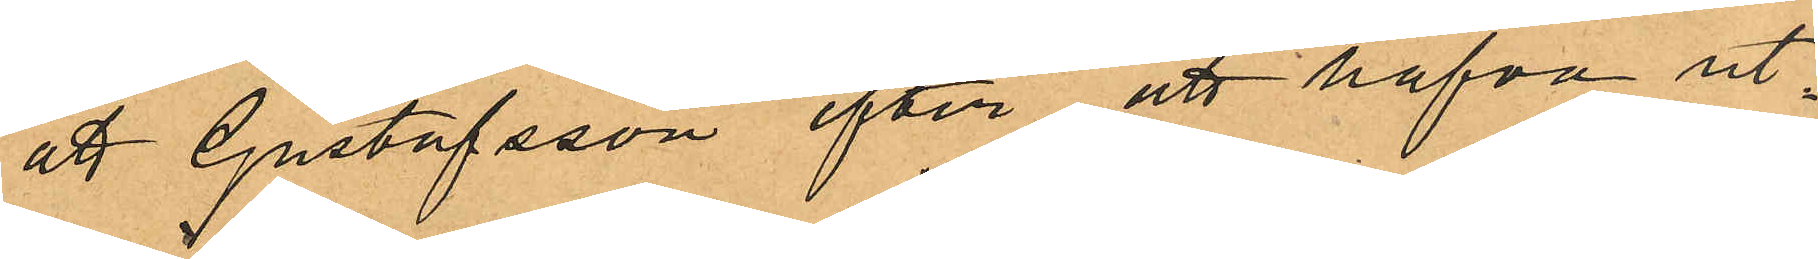att Gustafsson efter att hafva ut¬
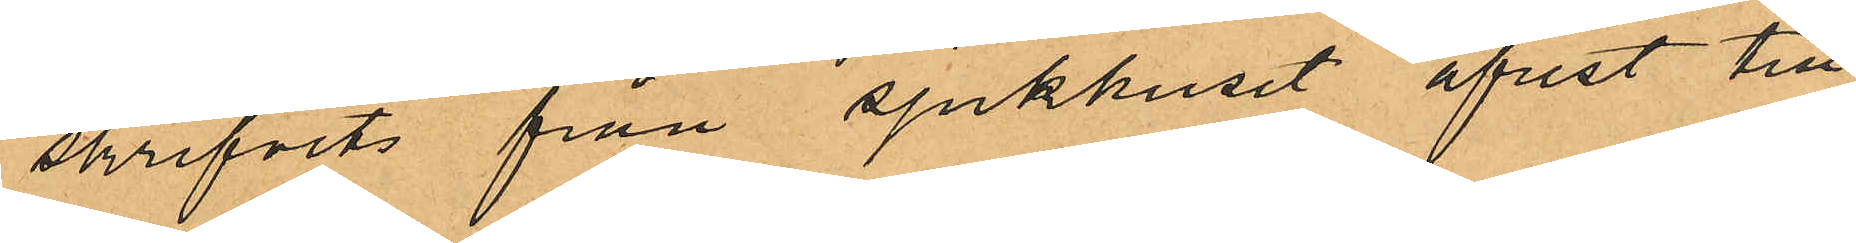skrifvits från sjukhuset afrest till
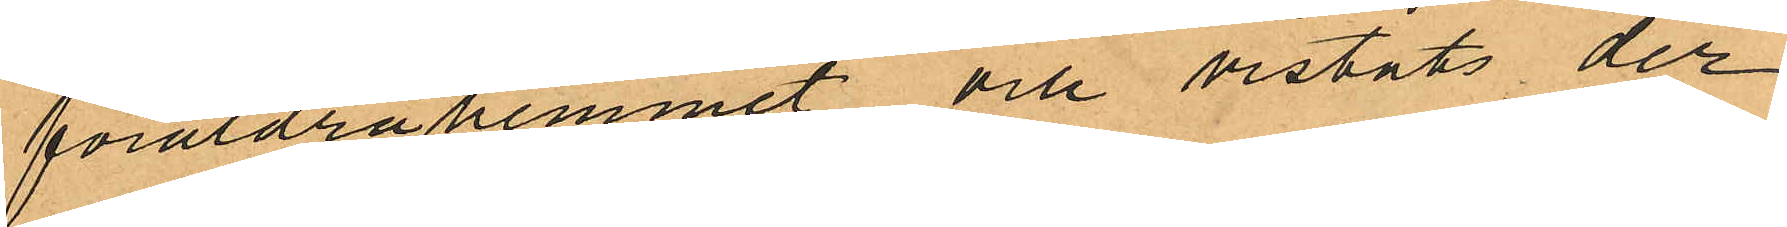föräldrahemmet och vistats der
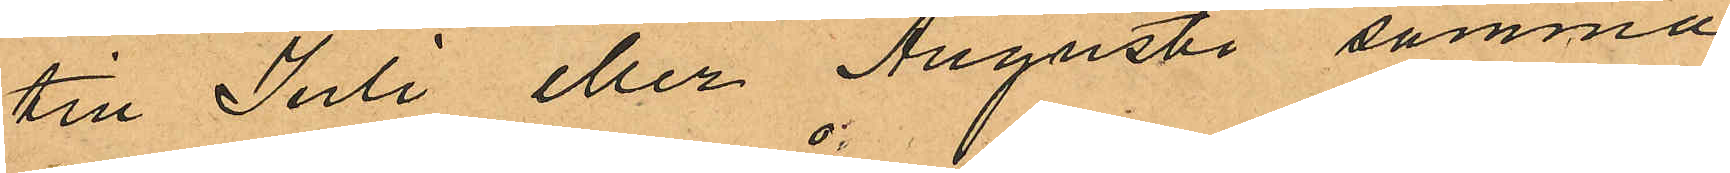till Juli eller Augusti samma
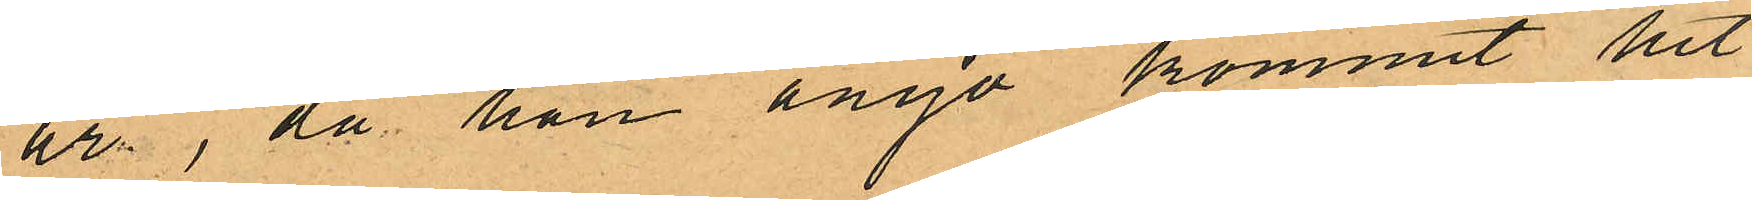år, då han ånyo kommit hit
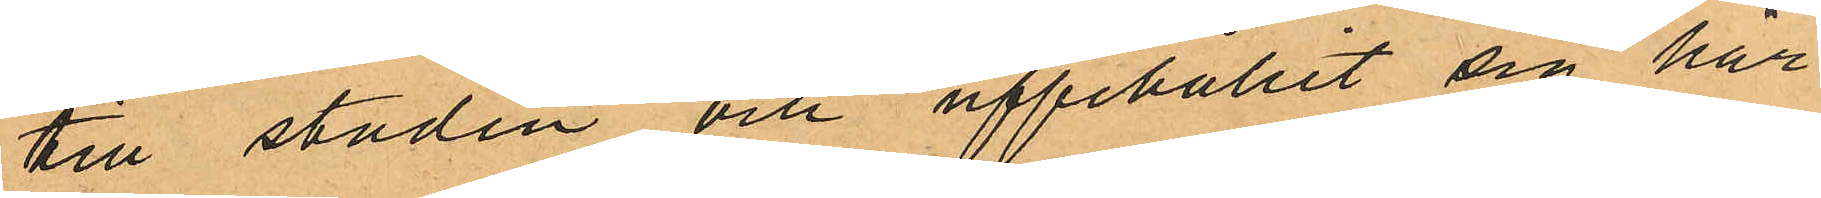till staden och uppehållit sig här
